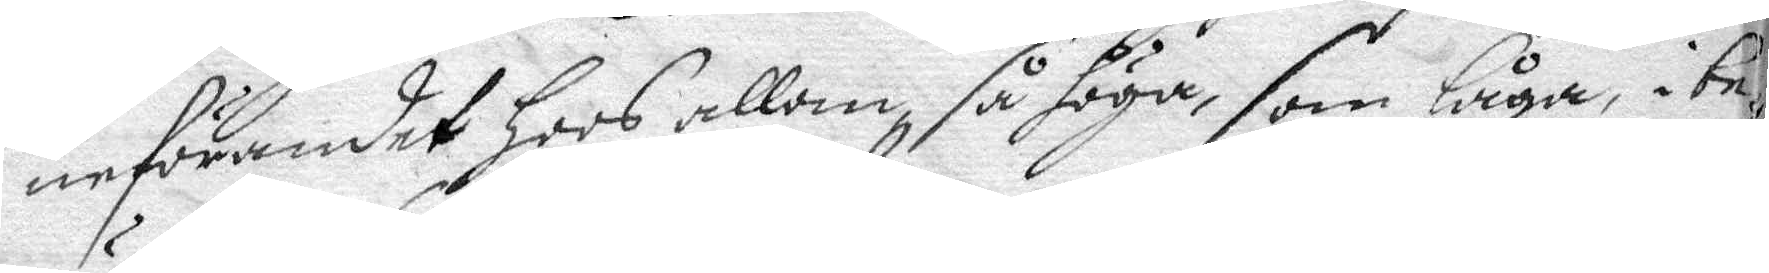neförandet hoos allom, så höga, som låga, i be¬
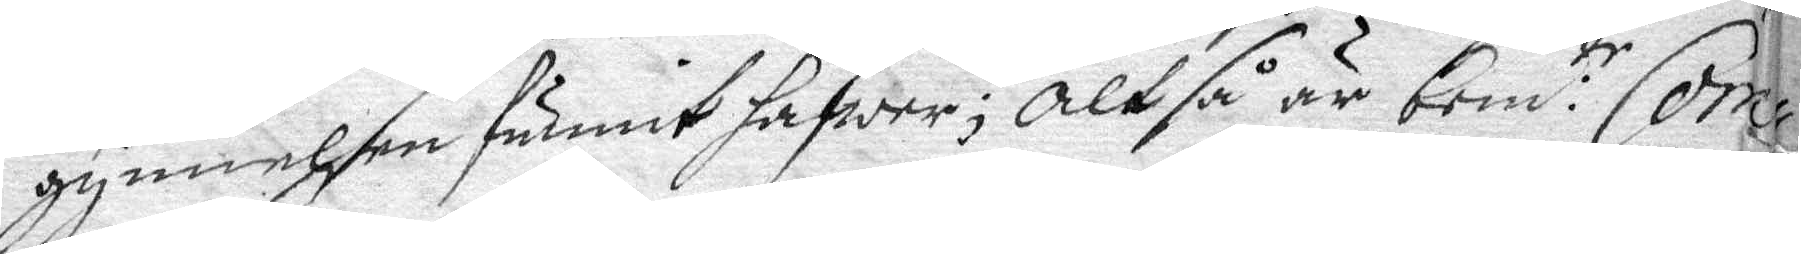gynnelsen funnit hafwer; Altså är bem:te Com¬
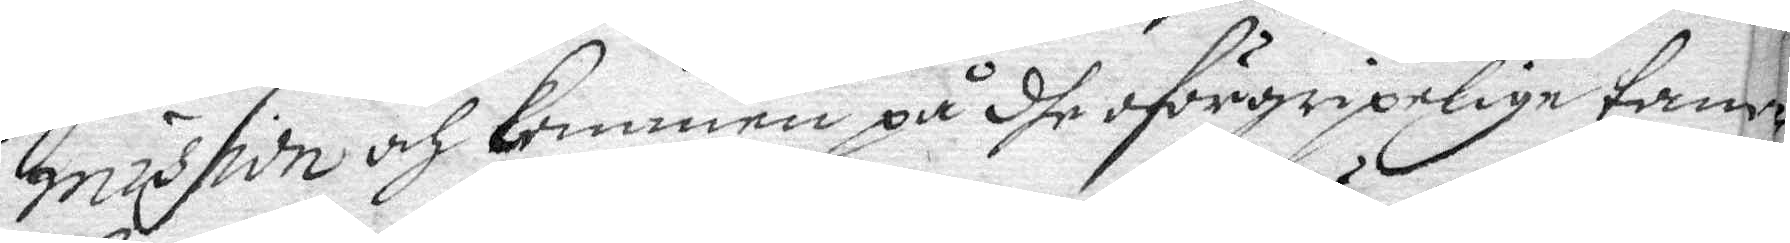mission och kommen på dhe oförgripelige tan¬
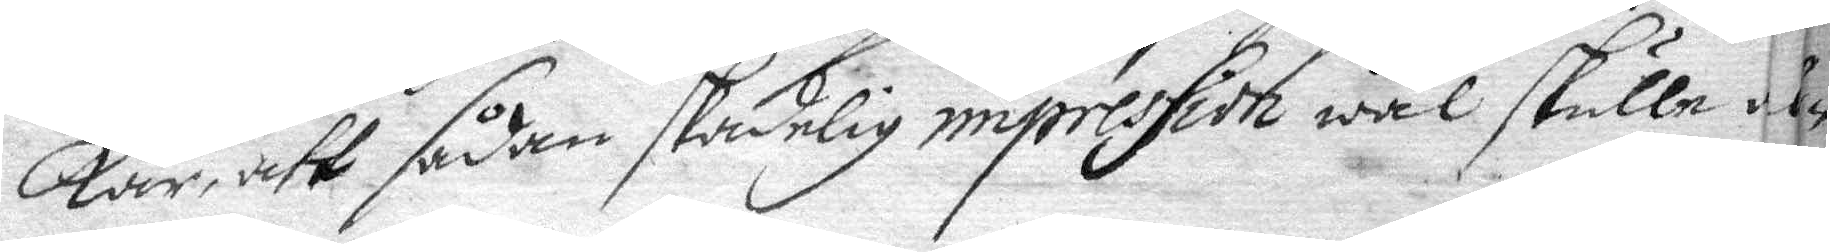kar, att sådan skadelig impression wäl skulle den
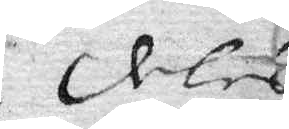deles
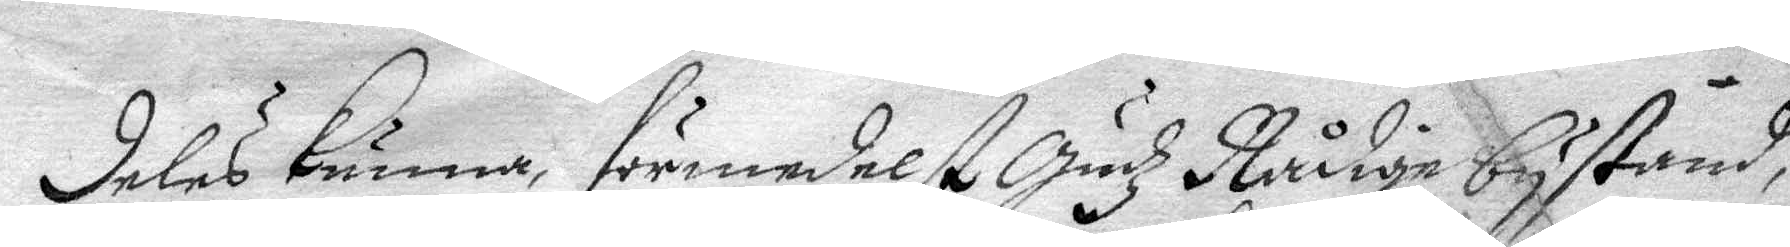deles kunna, förmedelst Gudz Nådige bystånd,
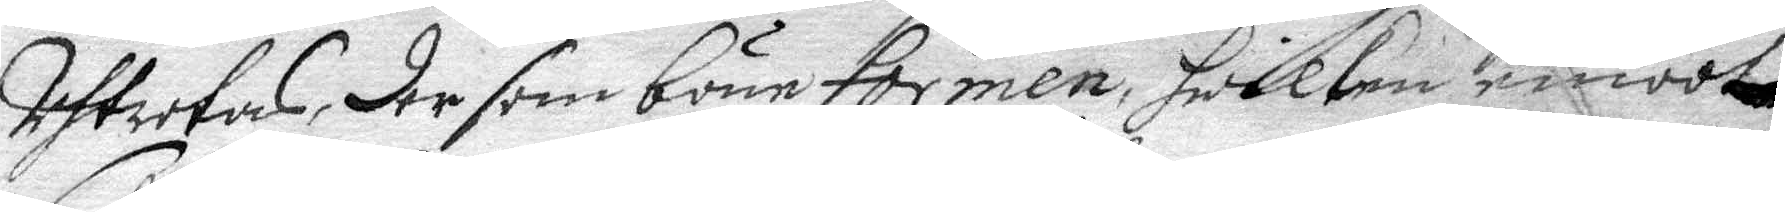Uhtrotas, der som böne formen, hwilken emoot
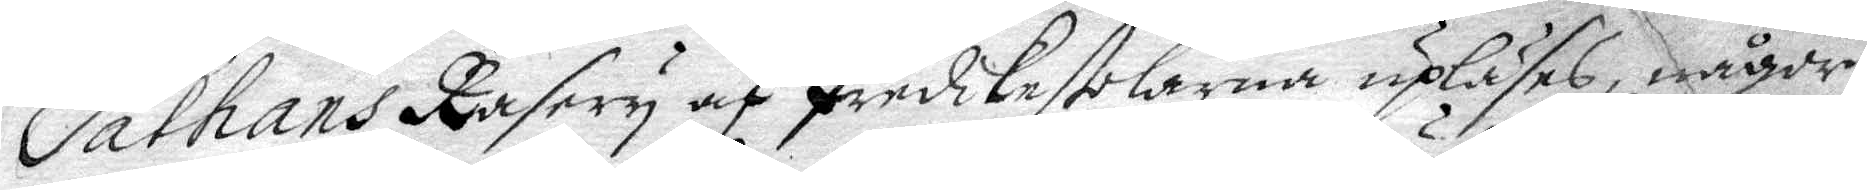Sathans Rasery af Presikestolarna upläses, någor¬
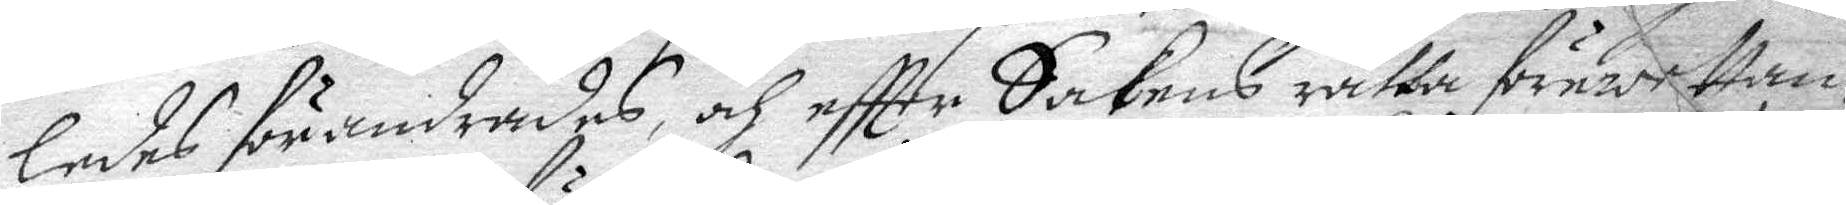ledes förandrades och eftter Sakens rätta förwettan¬
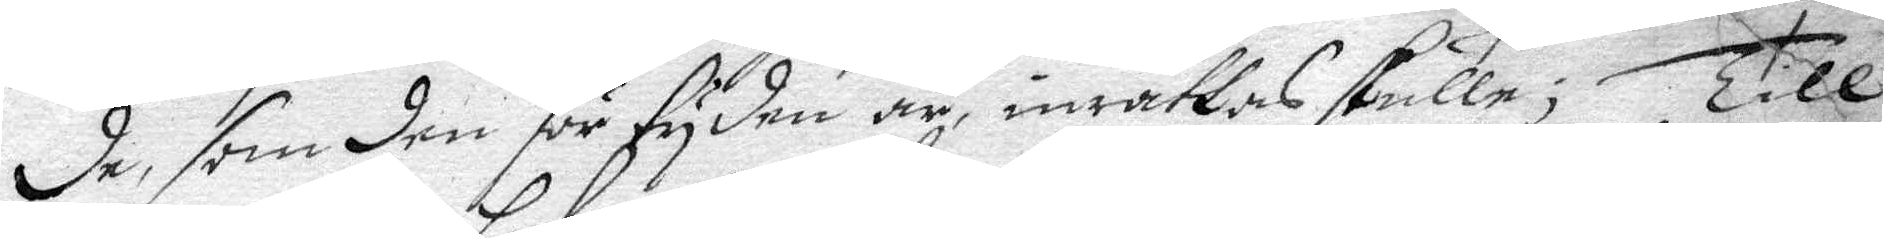de, som den för tyden är, inrättas skulle; Till
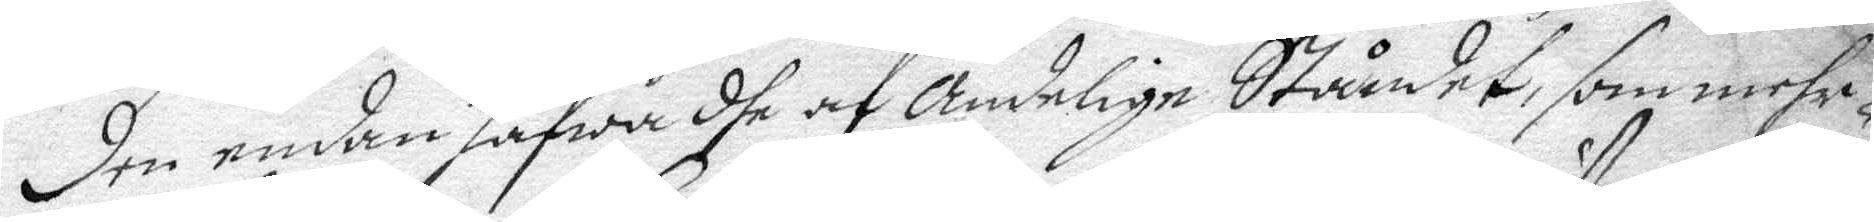den endan hafwa dhe af Andelige Ståndet, som mehr¬
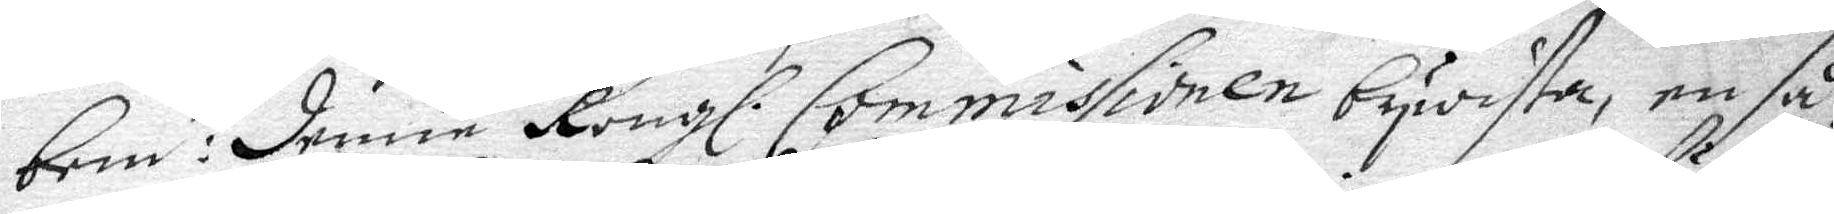bem:te denne Kongl. Commissionen bywista, en så¬
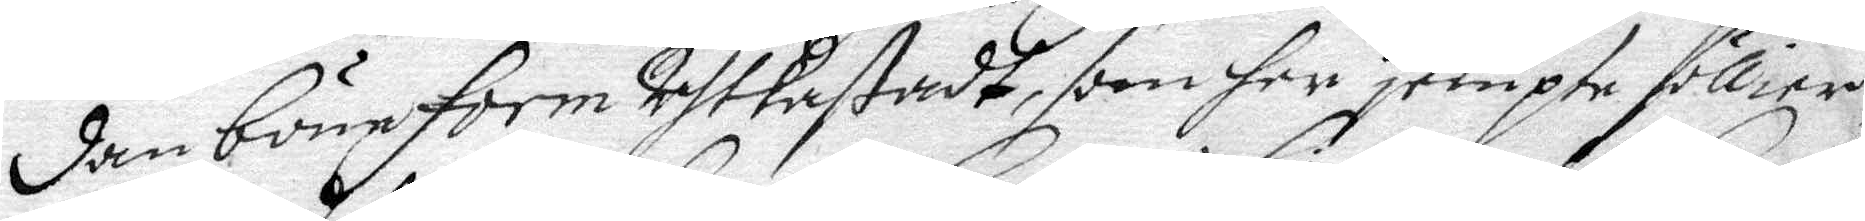dan böneform Uhtkastadt, som her jempte föllier,
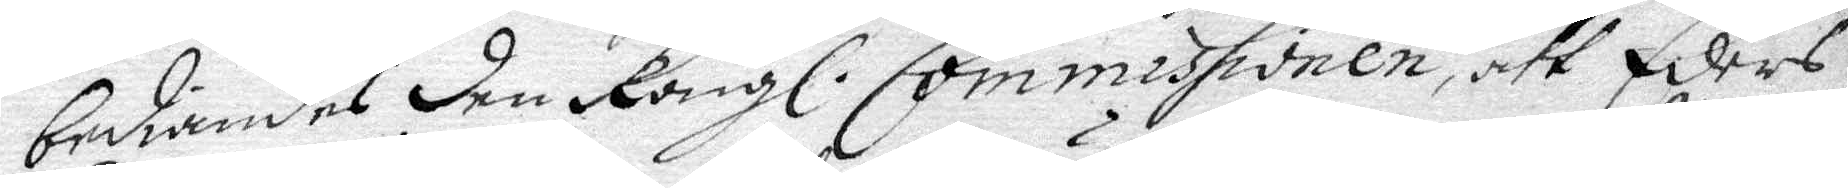bediandes den Kongl. Commissionen, att Eders
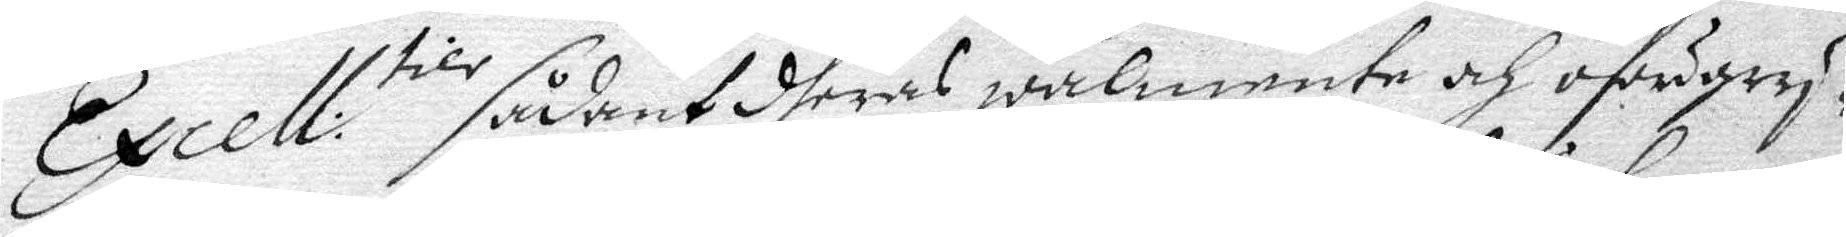Excell:tier sådant dheras wälmente och oförgry¬
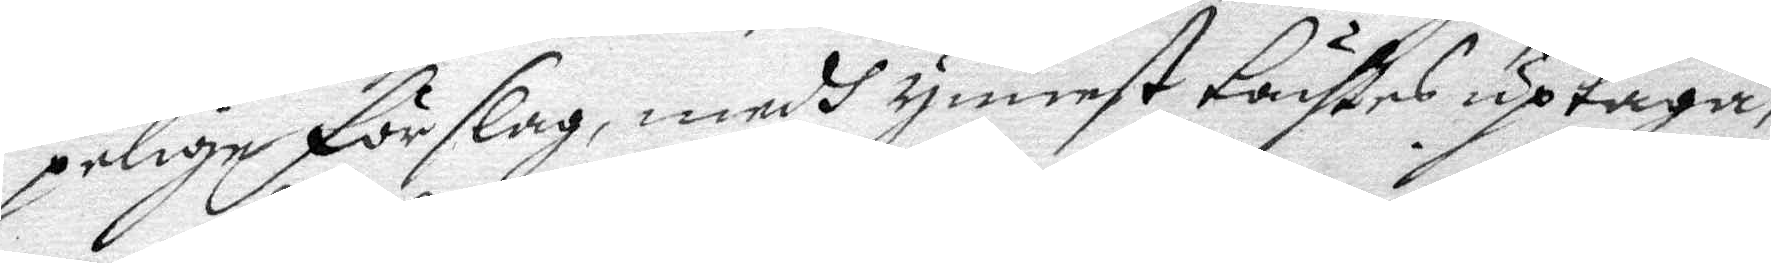pelige förslag, medh ynnest täcktes uptaga,
